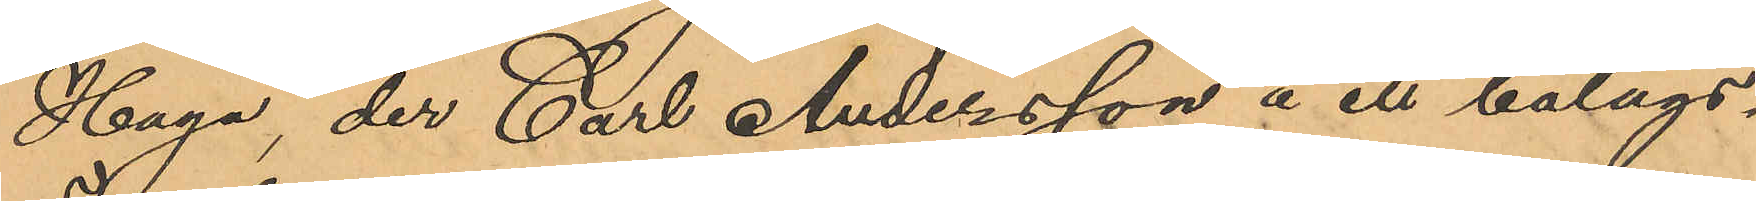Haga, der Carl Andersson å ett bolags¬
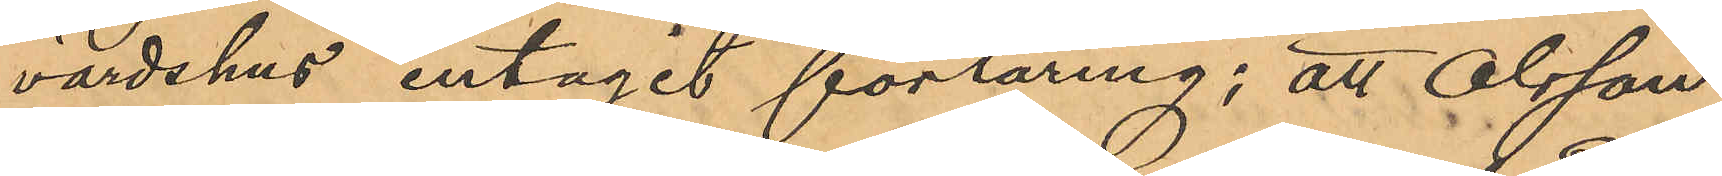värdshus intagit förtäring; att Olsson
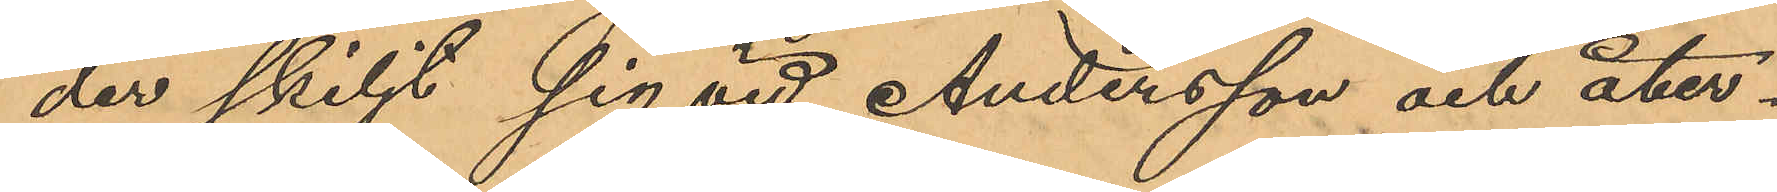der skiljt sig vid Andersson och åter¬
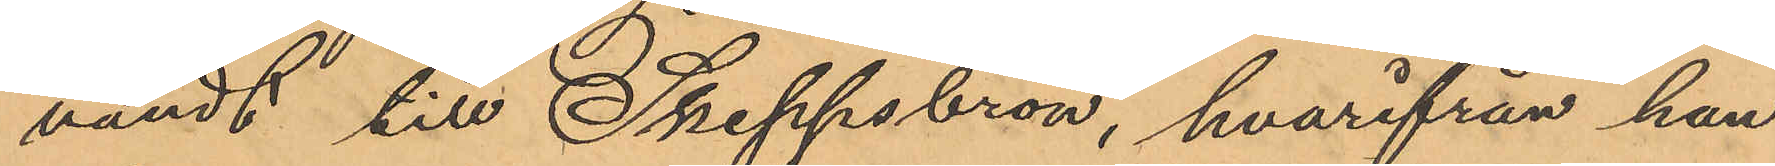vändt till Skeppsbron, hvarifrån han
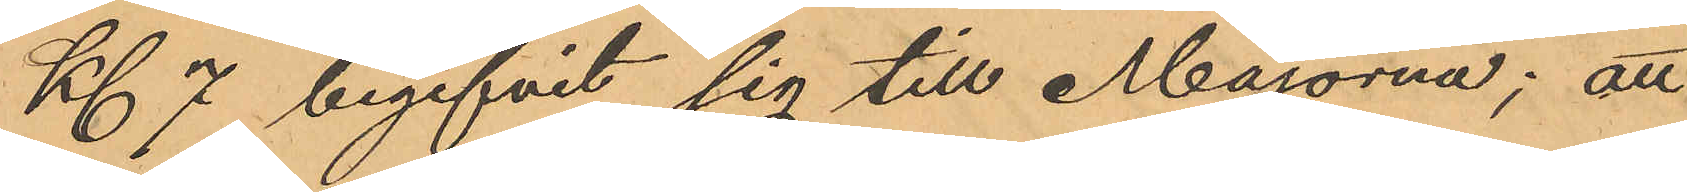Kl 7 begifvit sig till Majorna; att
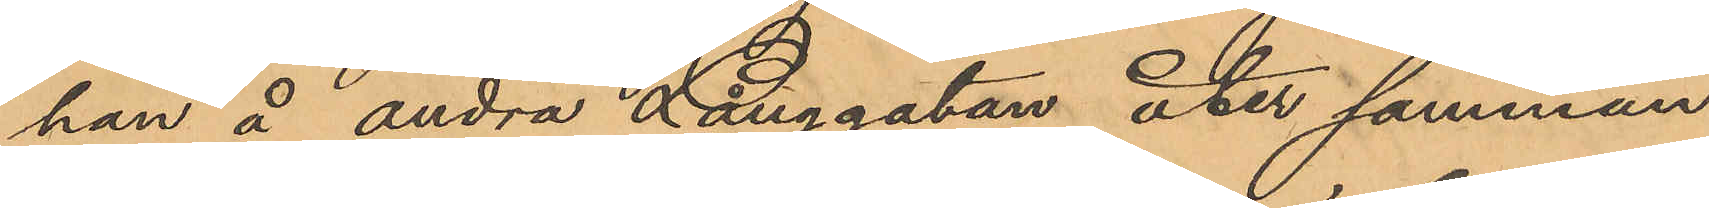han å andra Långgatan åter samman¬
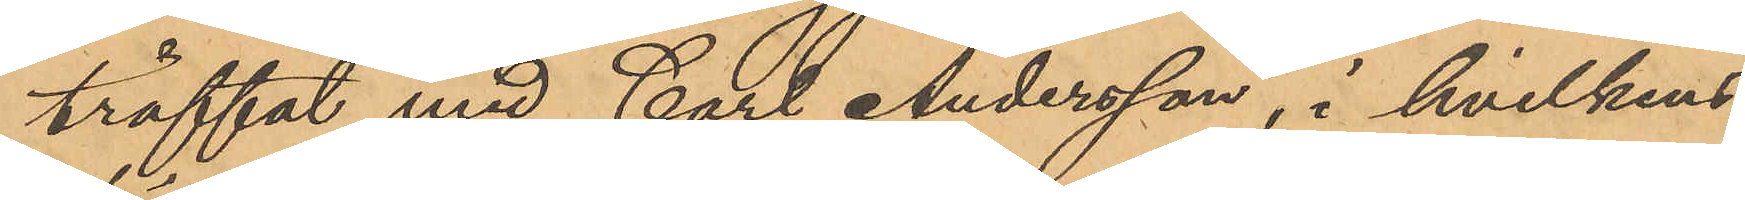träffat med Carl Andersson, i hvilkens
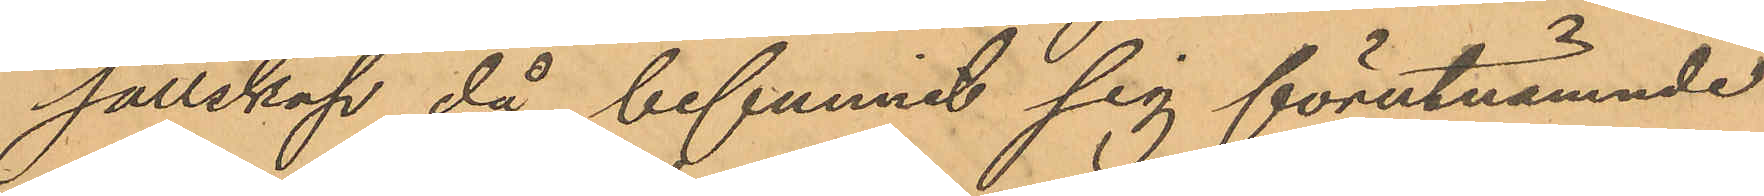sällskap då befunnit sig förutnämnde
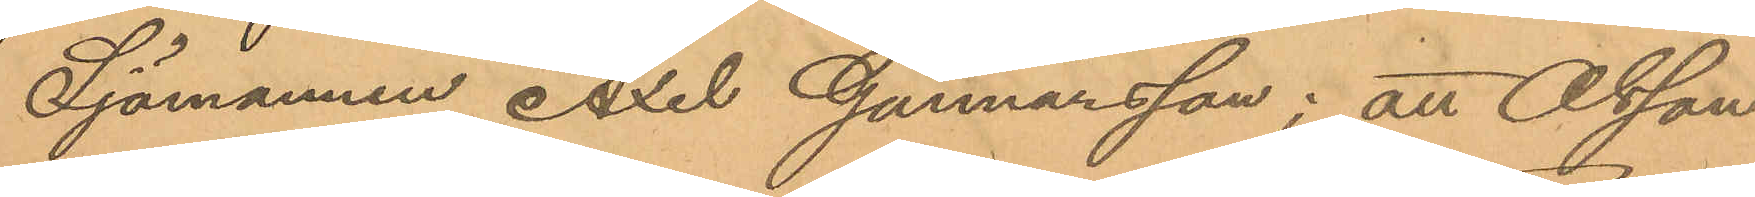Sjömannen Axel Gunnarsson; att Olsson
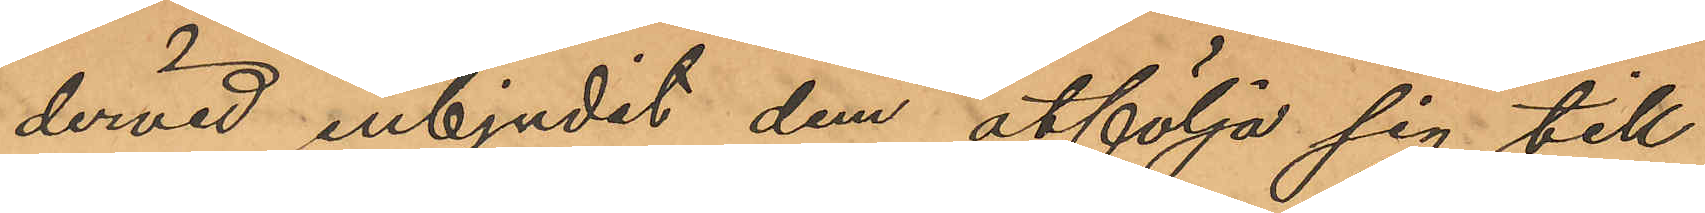dervid inbjudit dem åtfölja sig till
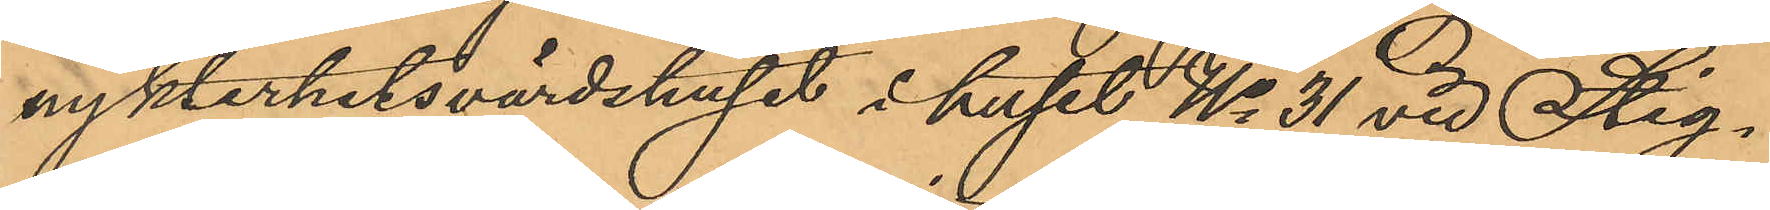nykterhetsvärdshuset i huset No 31 vid Stig¬
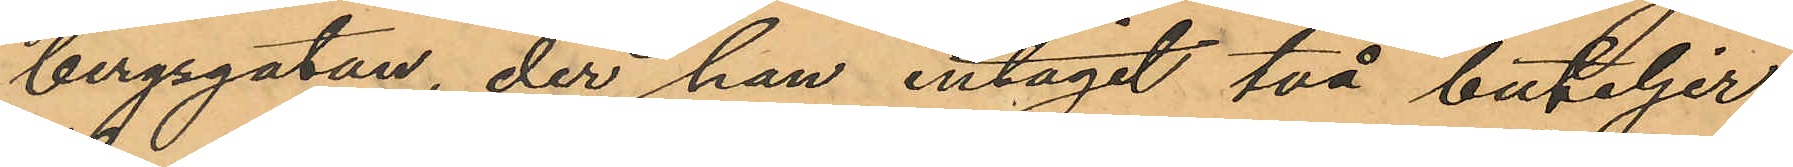bergsgatan, der han intagit två buteljer
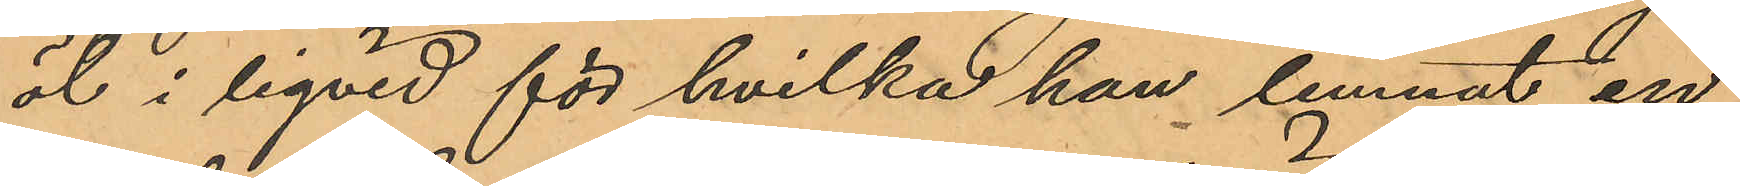öl i liqvid för hvilka han lemnat en
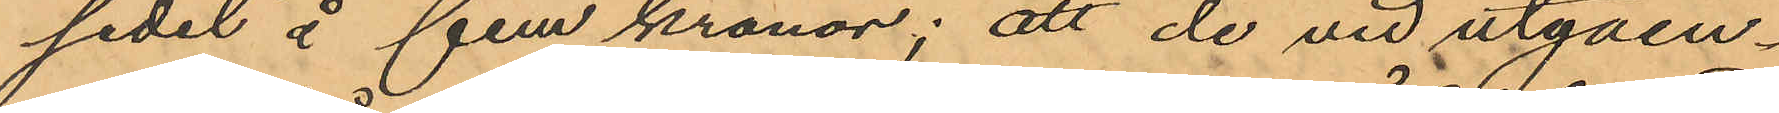sedel å fem kronor; att de vid utgåen¬
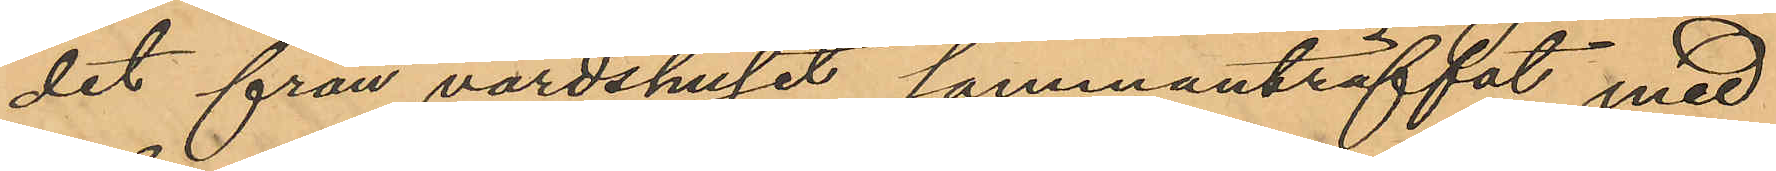det från värdshuset sammanträffat med
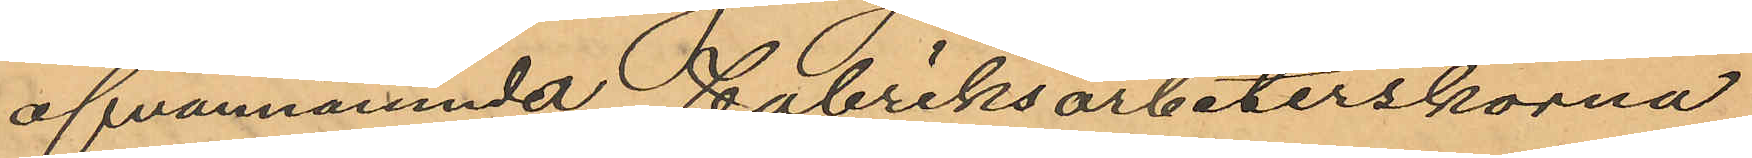ofvannämnda Fabriksarbeterskorna
